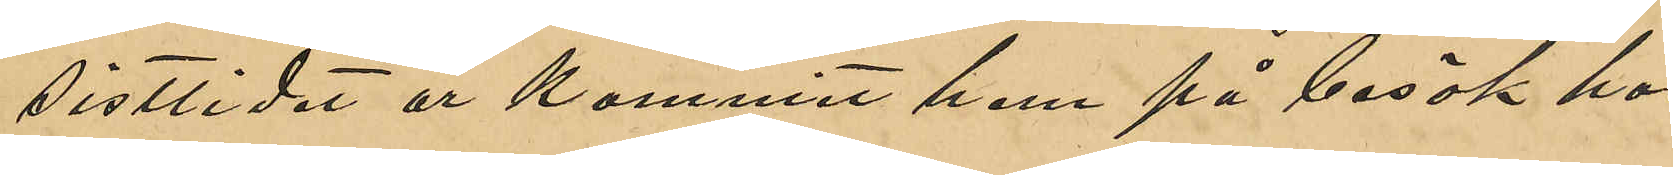sistlidet år kommit hem på besök hos
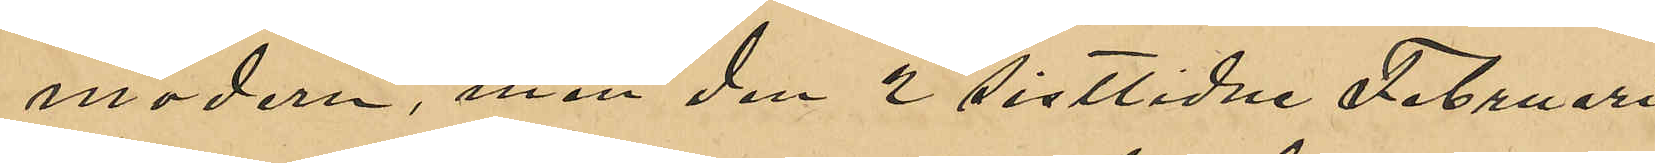modern, men den 2 sistlidne Februari
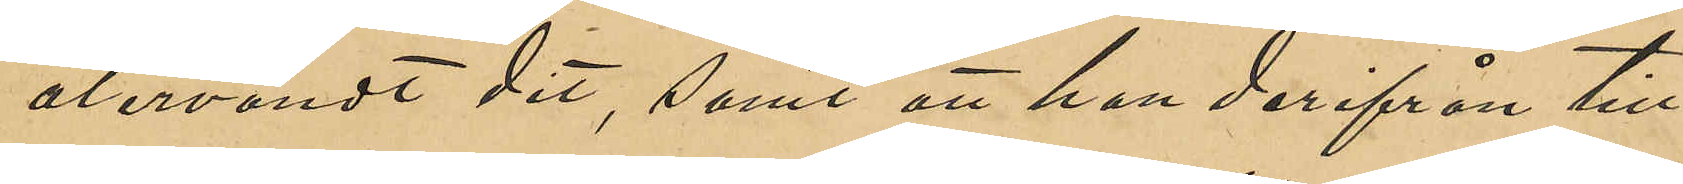återvändt dit, samt att han derifrån till¬
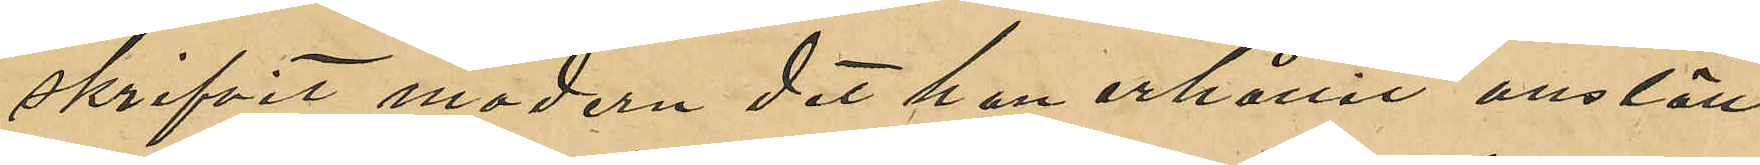skrifvit modern det han erhållit anställ¬
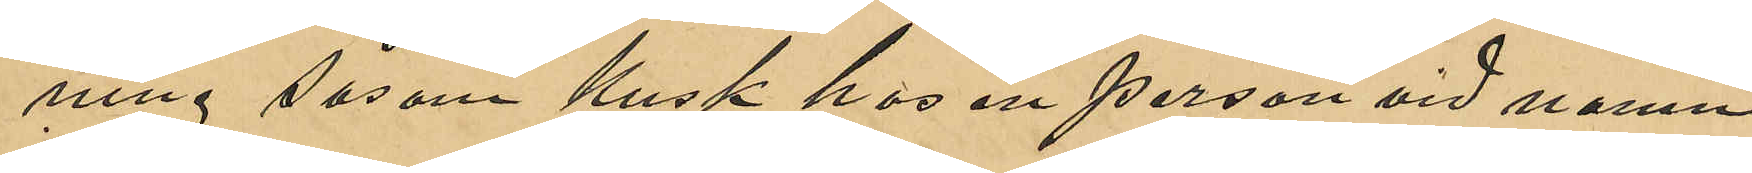ning såsom kusk hos en person vid namn 
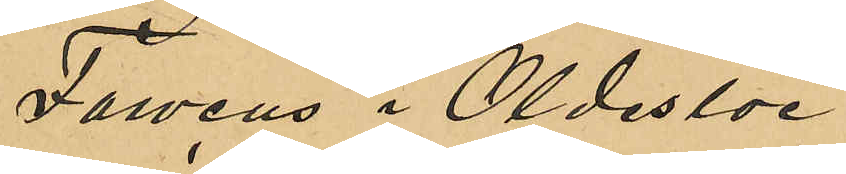Farveus i Oldesloe.
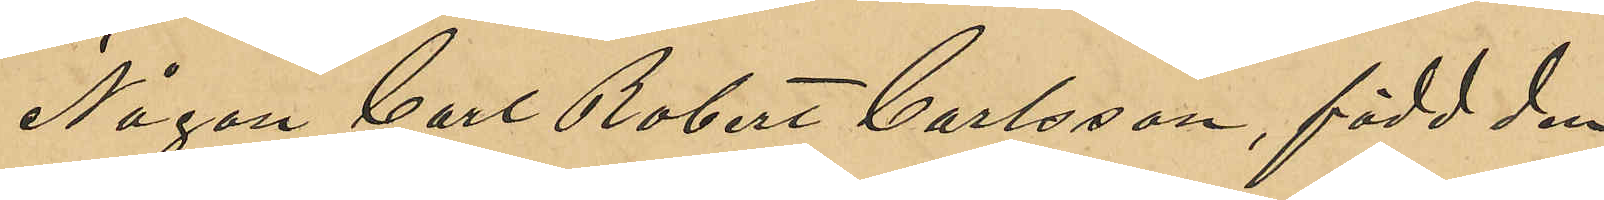Någon Carl Robert Carlsson, född den
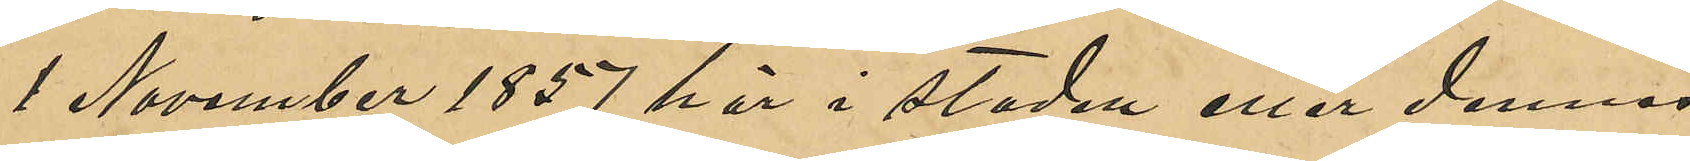1 November 1857 här i staden eller dennes
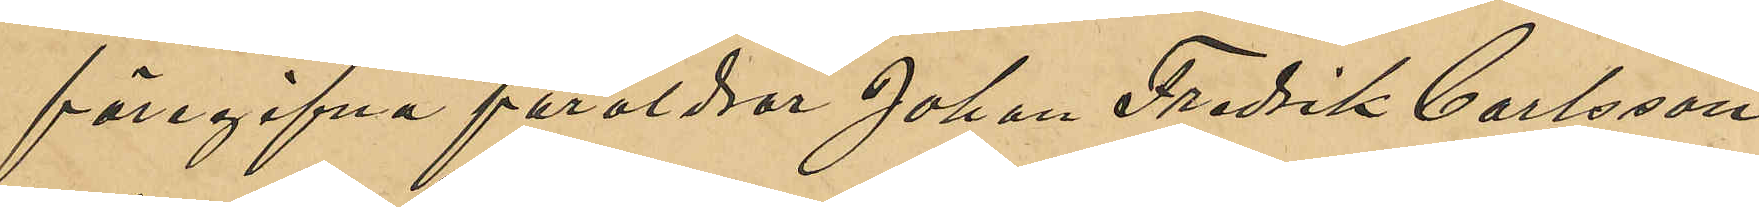föregifne föräldrar Johan Fredrik Carlsson
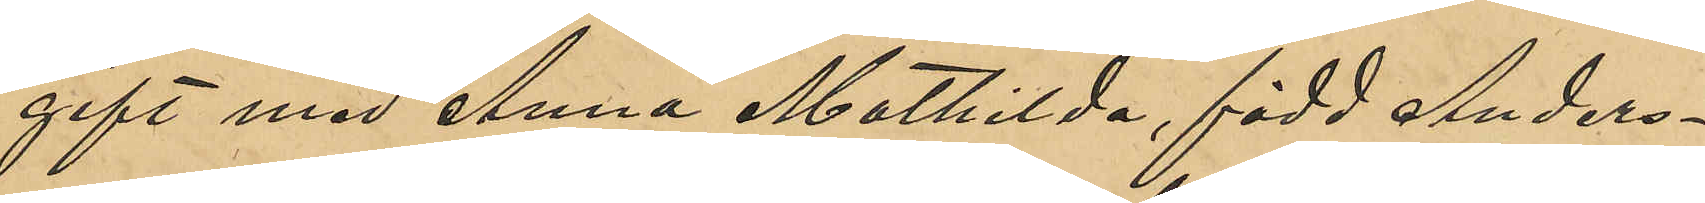gift med Anna Mathilda, född Anders¬
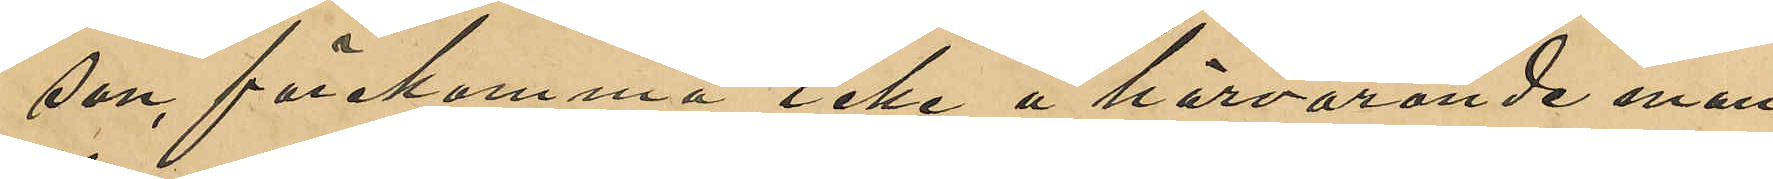son, förekomma icke å härvarande man¬
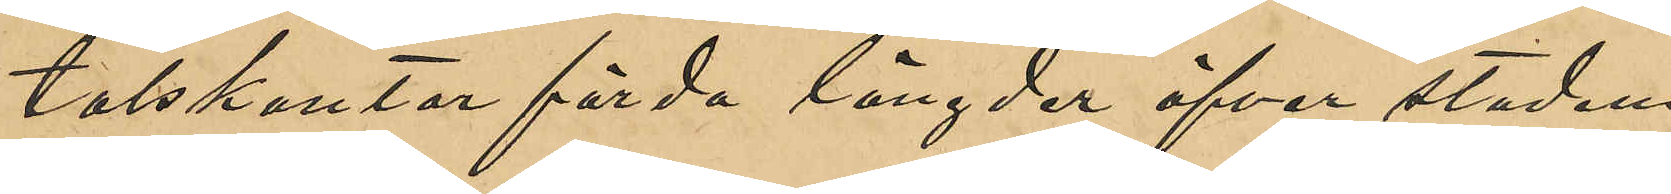talskontor förda längder öfver stadens
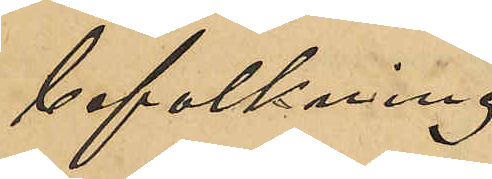befolkning.
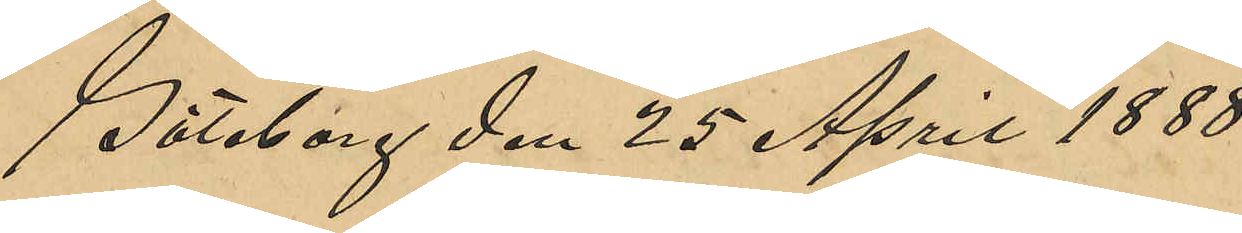Göteborg den 25 April 1888.
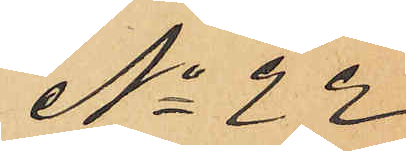No 22
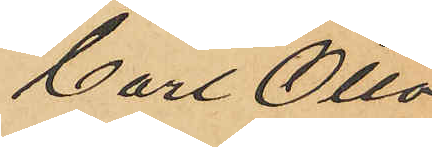Carl Otto
